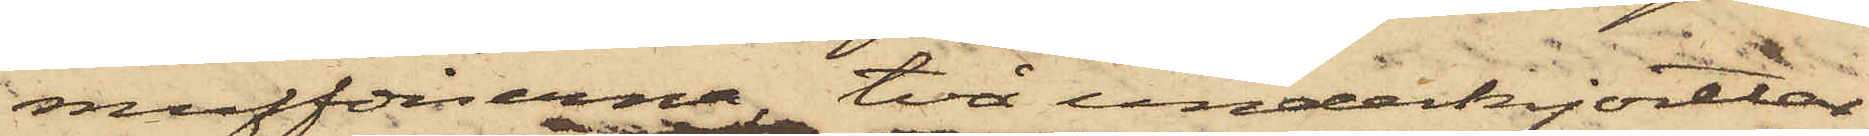muffdiserna, två underkjortlar
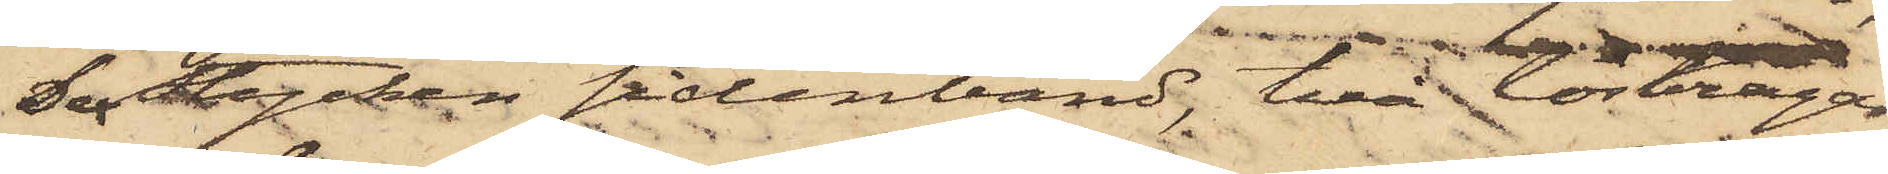Sex Stycken sidenband, två löskragar,
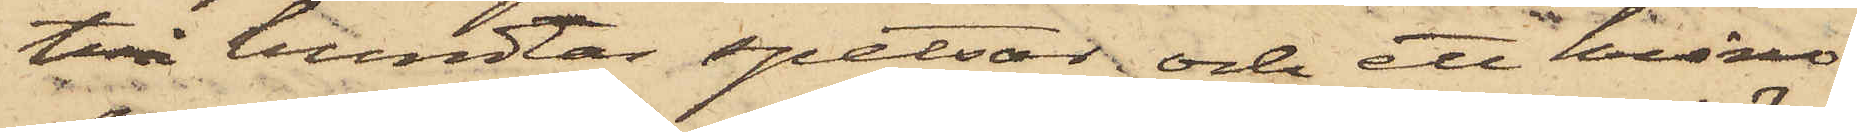två bundtar spetsar och ett krino¬
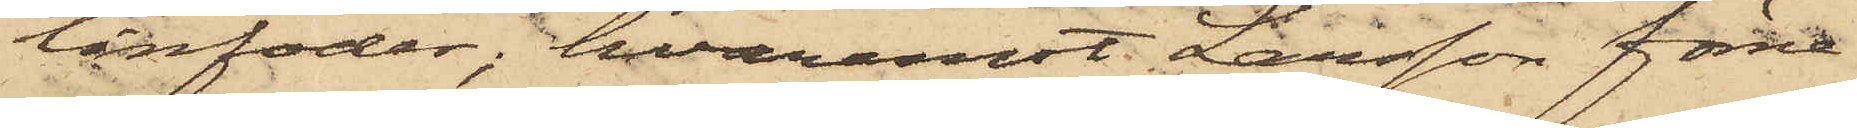linfoder; hvaremot Larsson förne¬
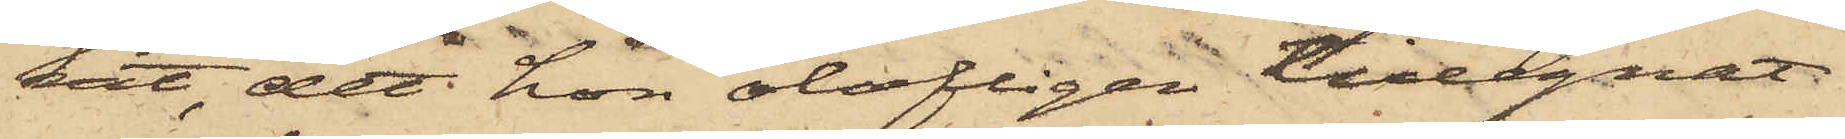vit, det hon olofligen tillegnat
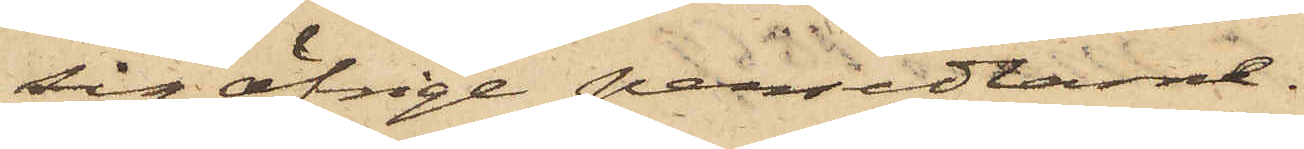sig öfrige persedlar.
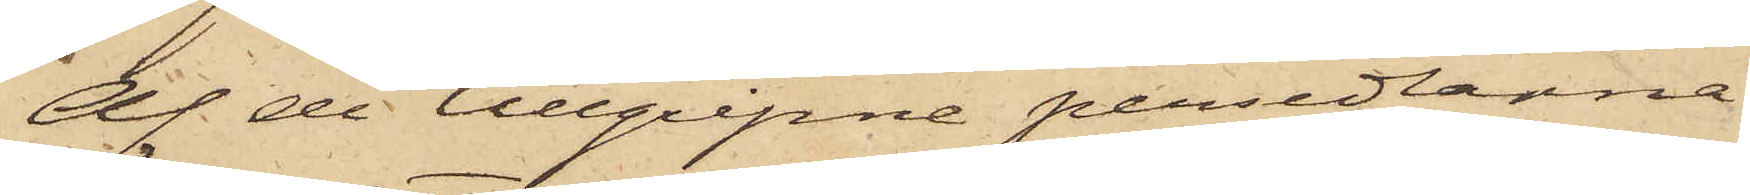Af de tillgripne persedlarne
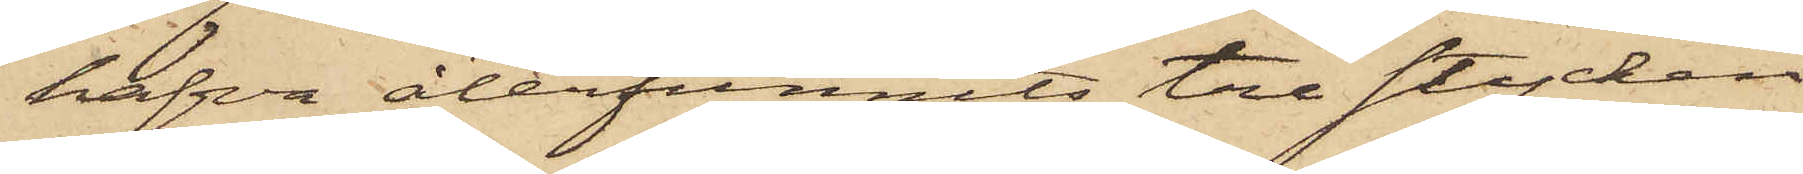hafva återfunnits tre stycken
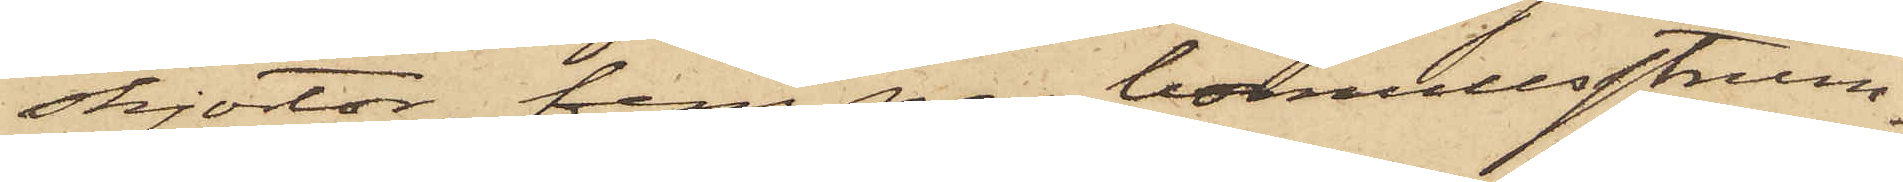skjortor, fem par bomullsstrum¬
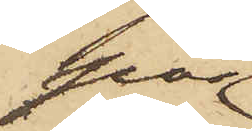por
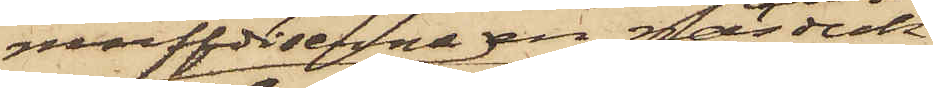muffdiserna, en näsduk
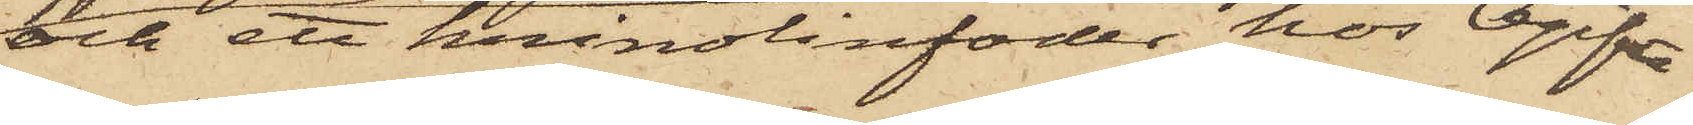och ett krinolinfoder hos Ogifta
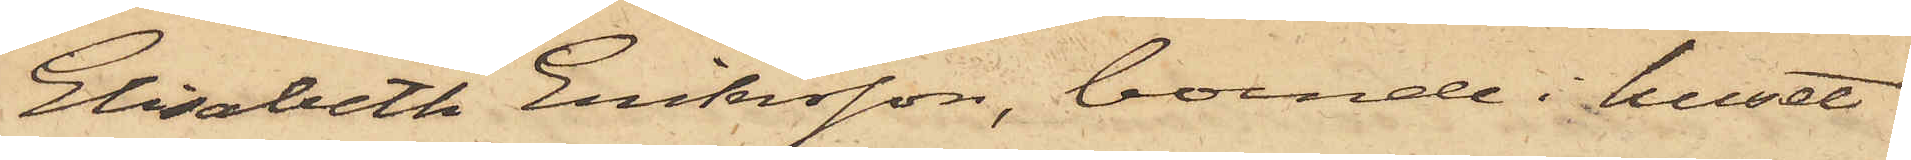Elisabeth Eriksson, boende i huset
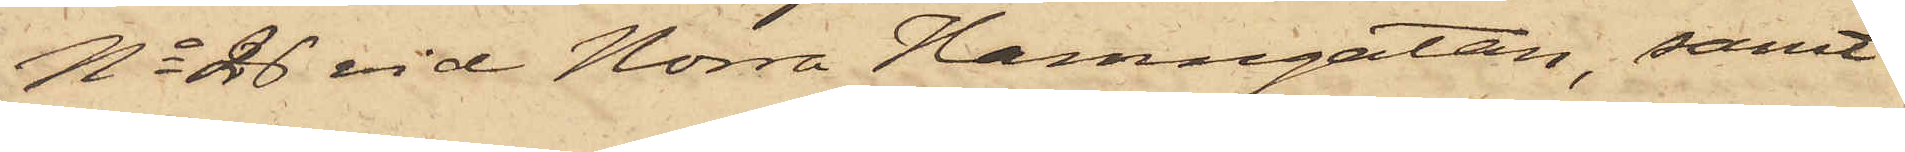No 26 vid Norra Hamngatan, samt
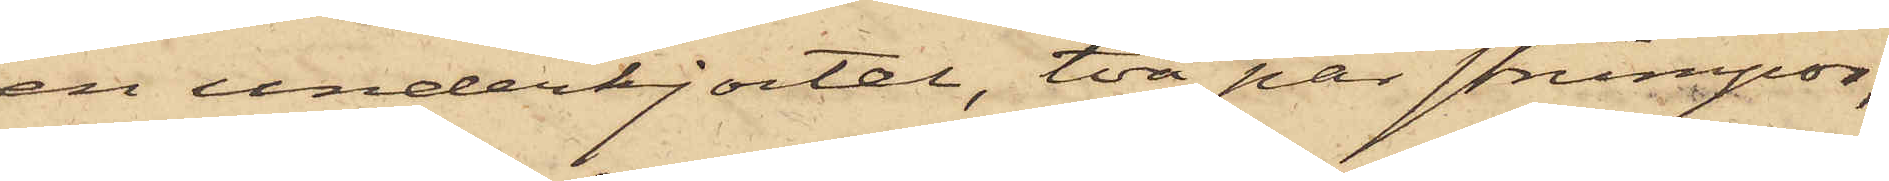en underkjortel, två par strumpor,
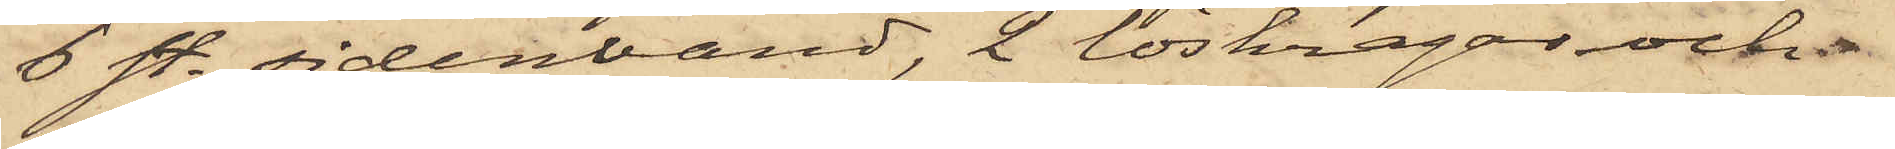6 st. sidenband, 2 löskragar och
